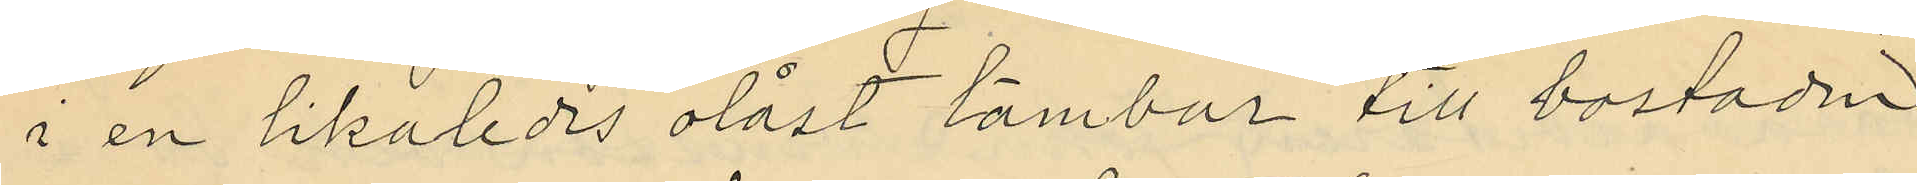i en likaledes olåst tambur till bostaden
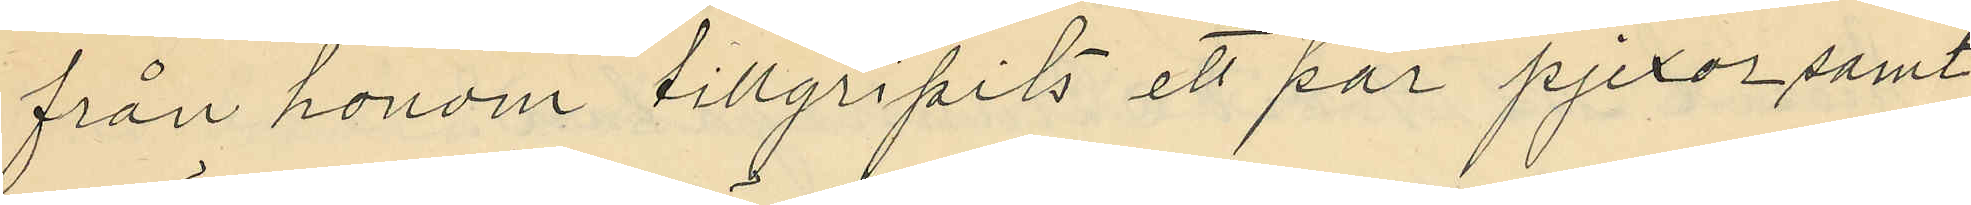från honom tillgripits ett par pjexor samt
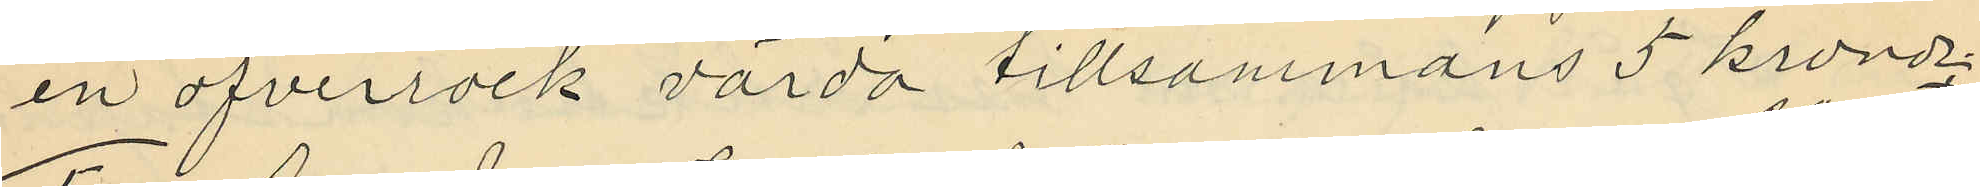en öfverrock värda tillsammans 5 kronor
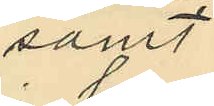samt
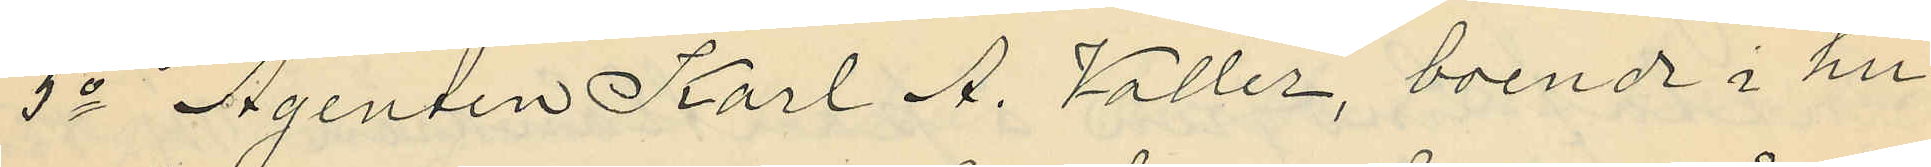5o Agenten Karl A. Valler, boende i hu¬
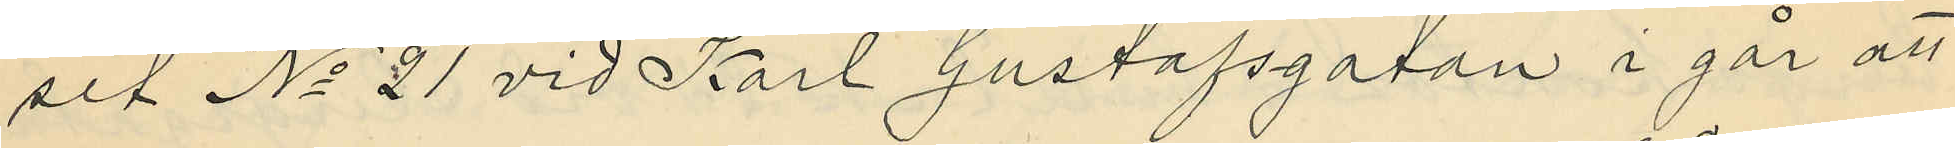set No 21 vid Karl Gustafsgatan i går att
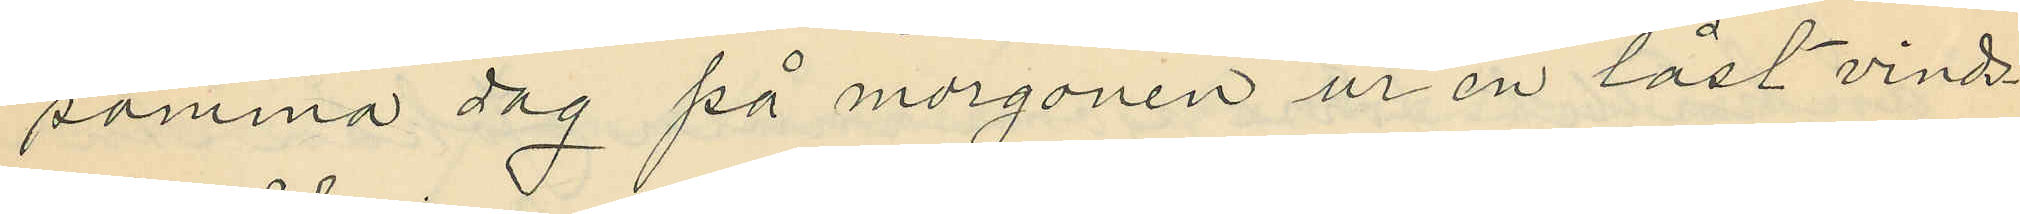samma dag på morgonen ur en låst vinds¬
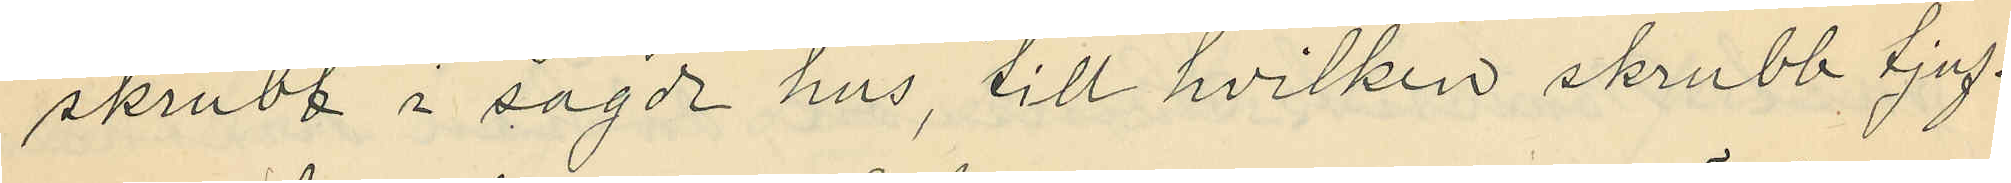skrubb i sagde hus, till hvilken skrubb tjuf¬
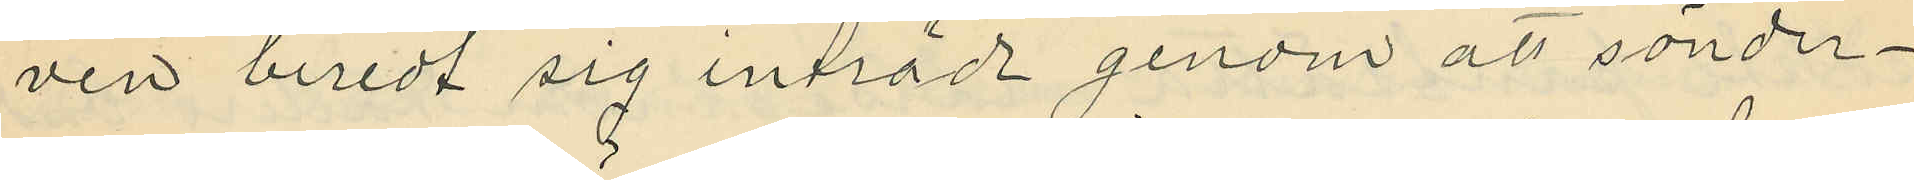ven beredt sig inträde genom att sönder¬
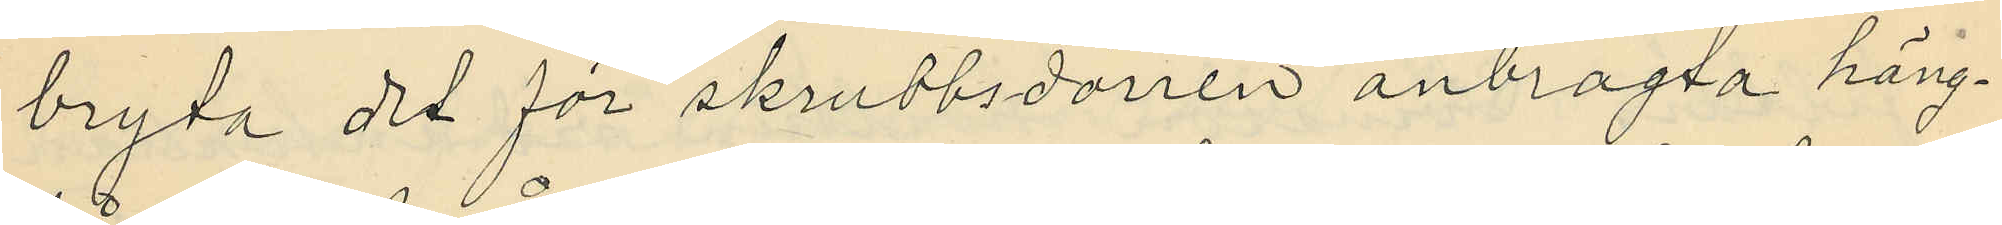bryta det för skrubbsdörren anbragta häng¬
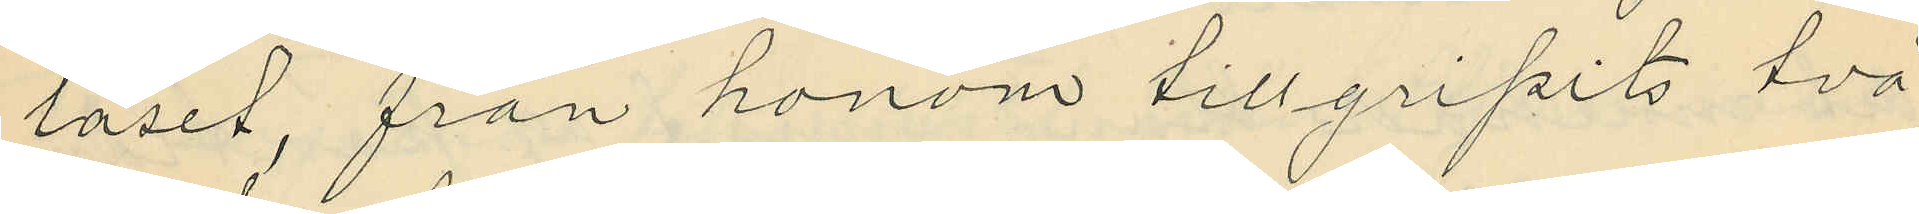låset, från honom tillgripits två
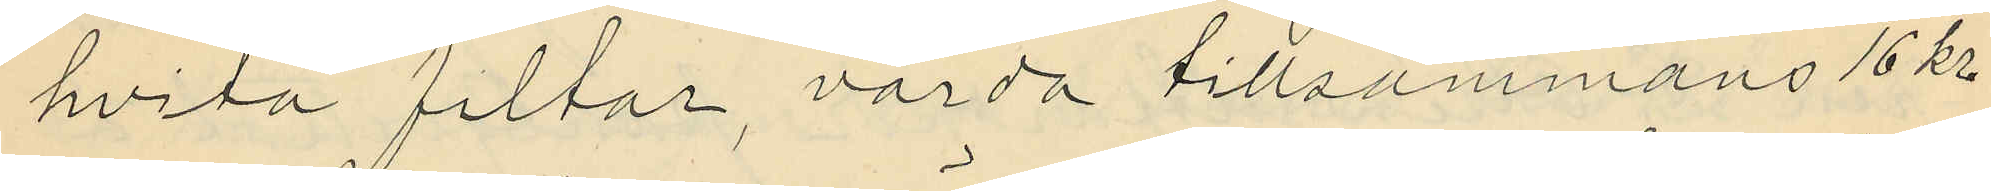hvita filtar, värda tillsammans 16 kr
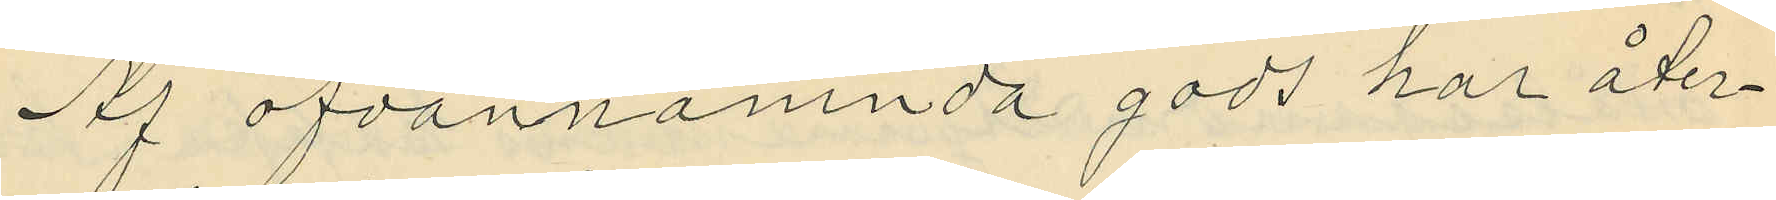Af ofvannämnda gods har åter¬
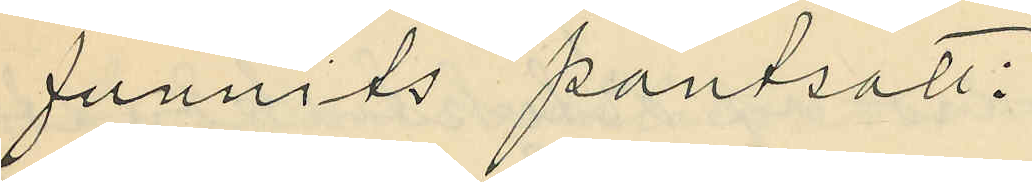funnits pantsatt:
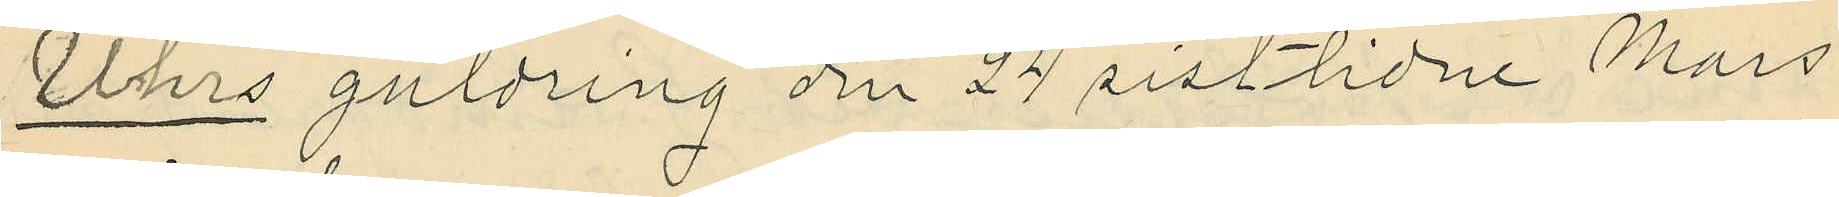Uhrs guldring den 24 sistlidne Mars
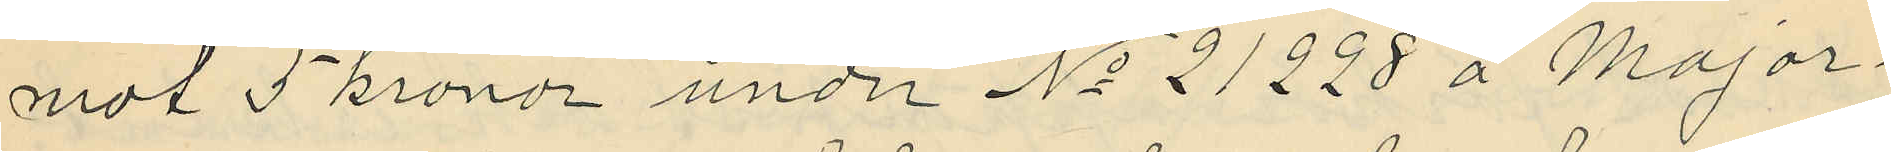mot 5 kronor under No 21228 å Major¬
